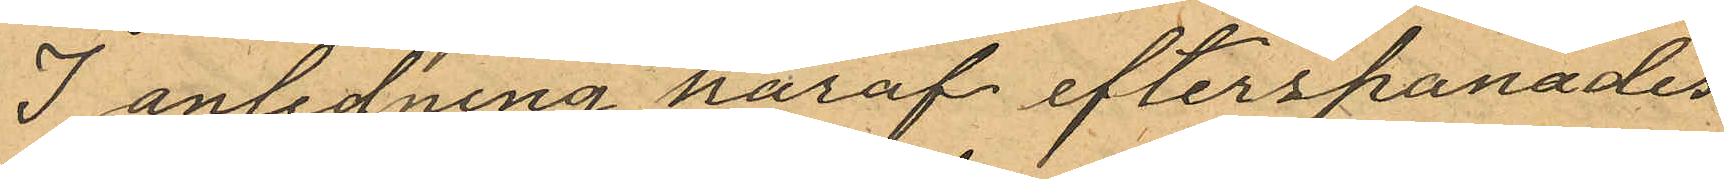I anledning häraf efterspanades
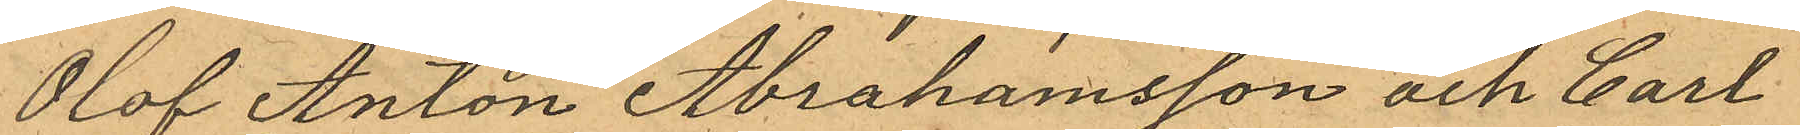Olof Anton Abrahamsson och Carl
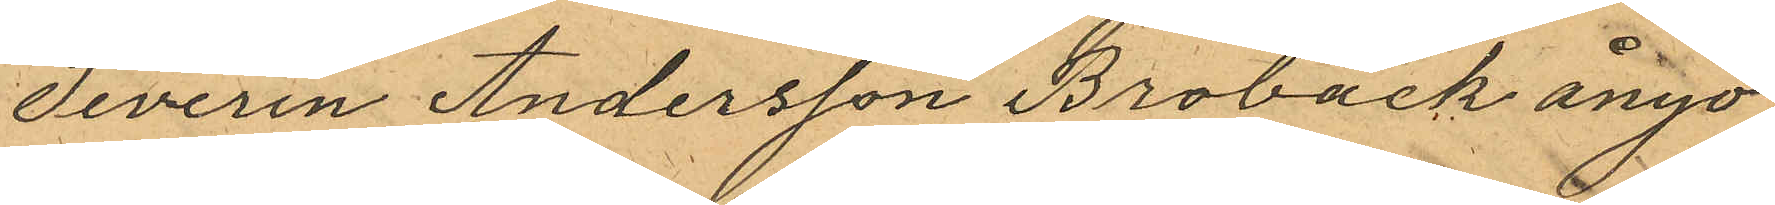Severin Andersson Broback ånyo
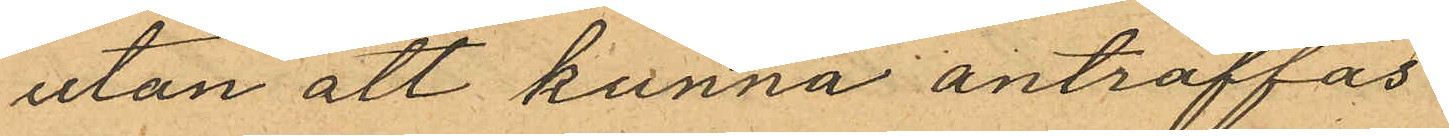utan att kunna anträffas.
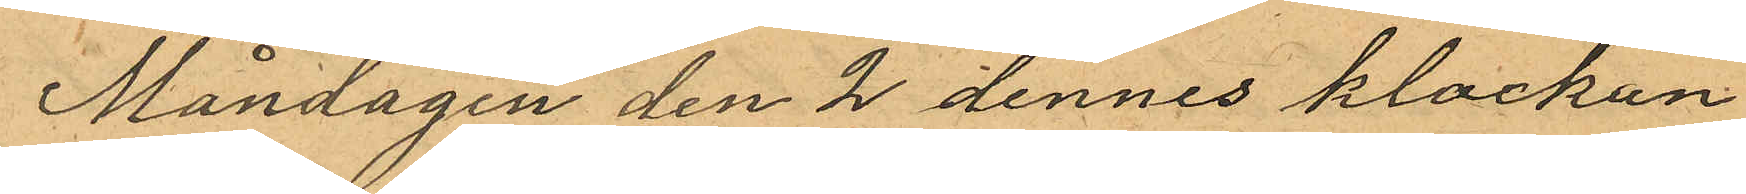Måndagen den 2 dennes klockan
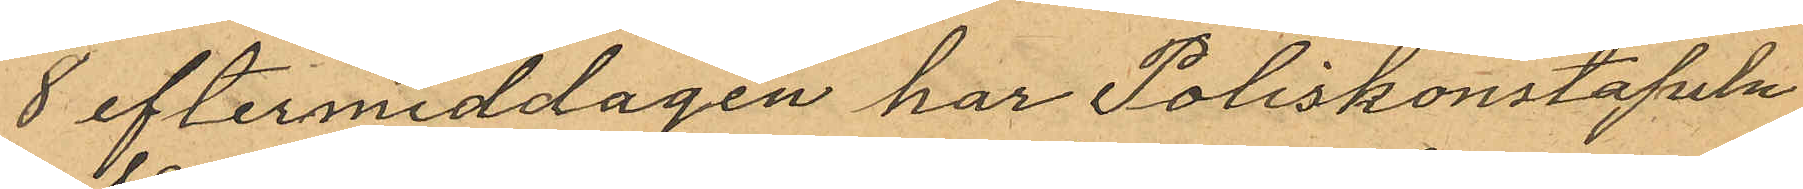8 eftermiddagen har Poliskonstapeln
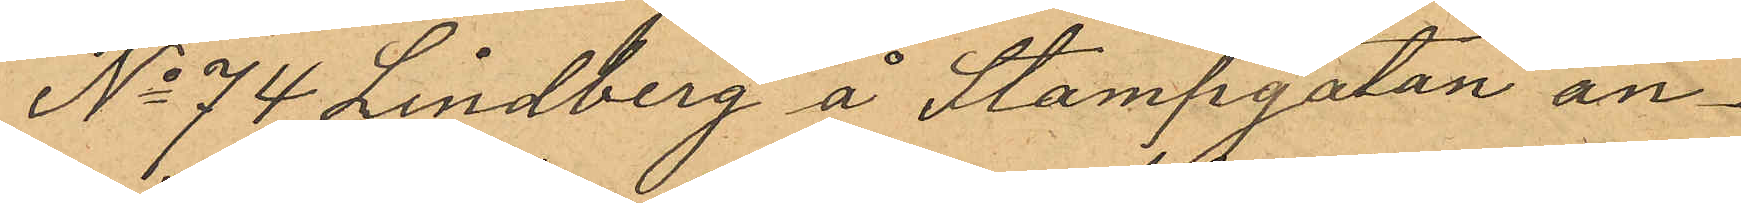No 74 Lindberg å Stampgatan an¬
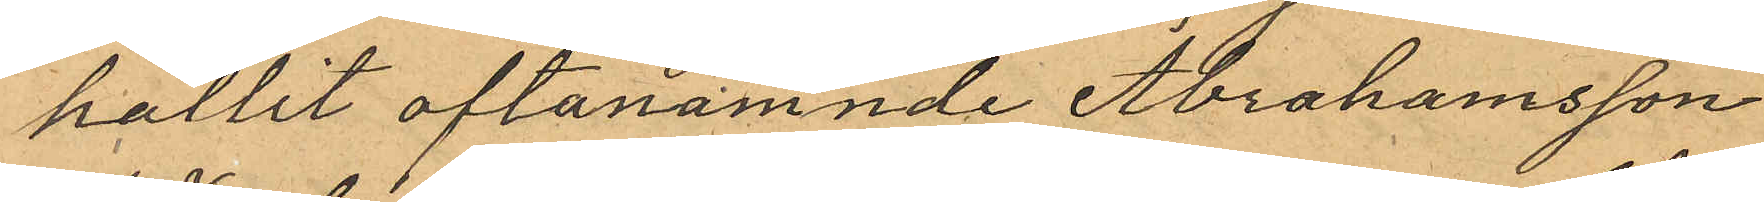hållit oftanämnde Abrahamsson
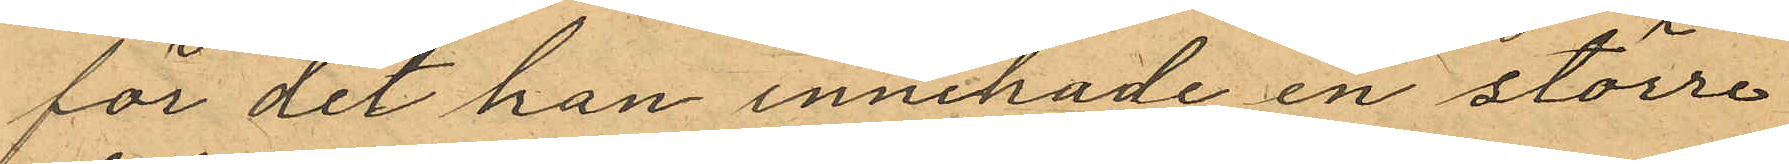för det han innehade en större
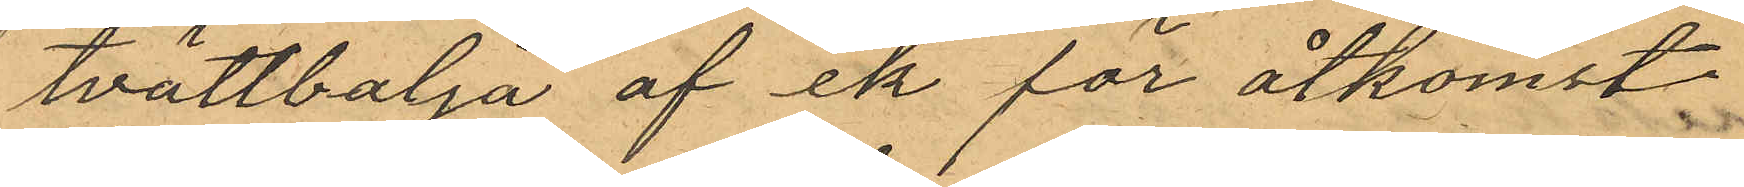tvättbalja af ek för åtkomst
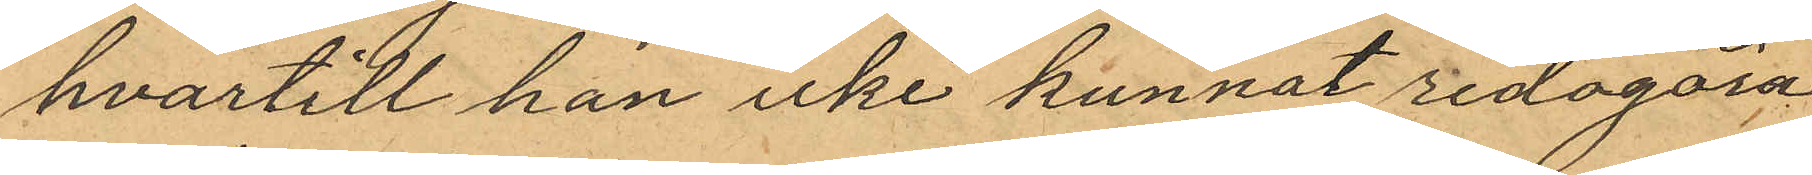hvartill han icke kunnat redogöra.
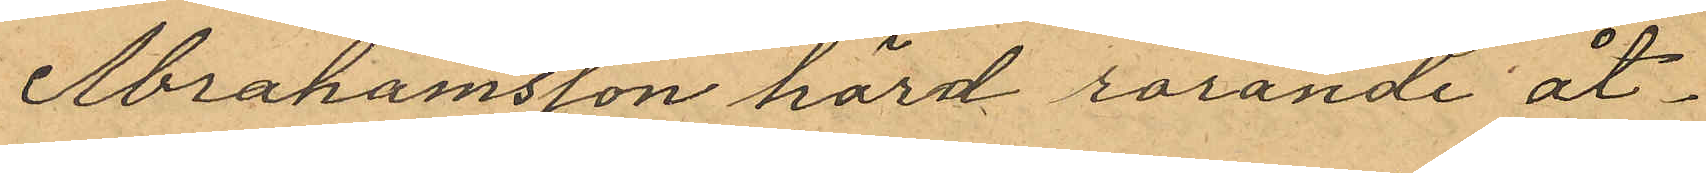Abrahamsson hörd rörande åt¬
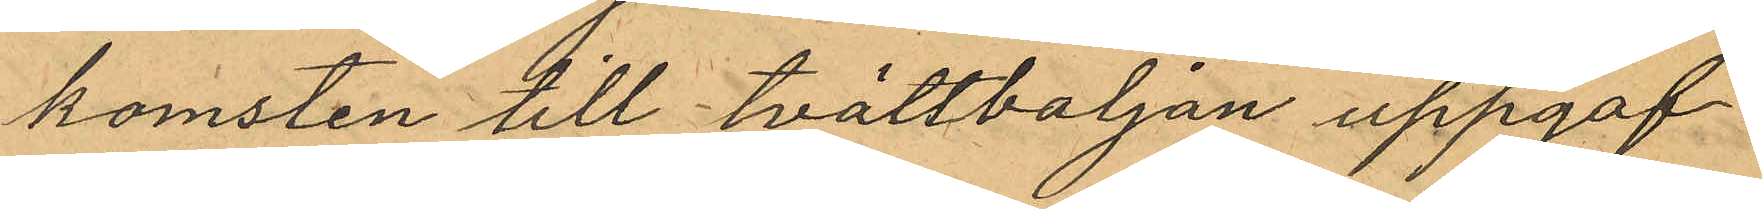komsten till tvättbaljan uppgaf
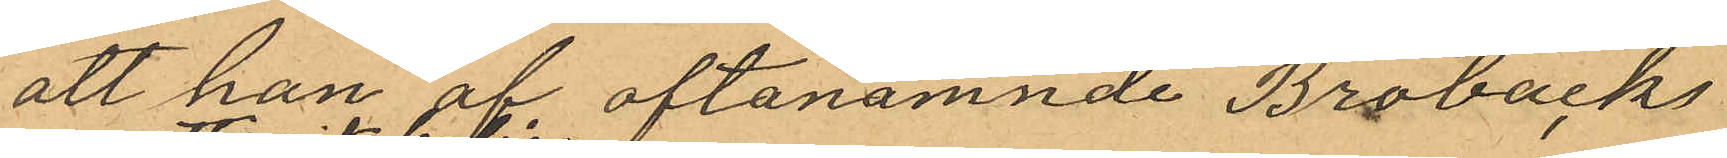att han af oftanämnde Brobacks
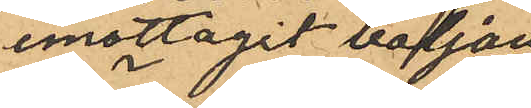emottagit baljan
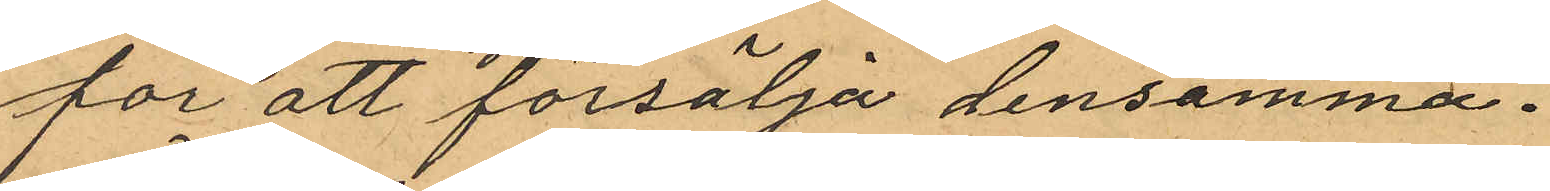för att försälja densamma.
